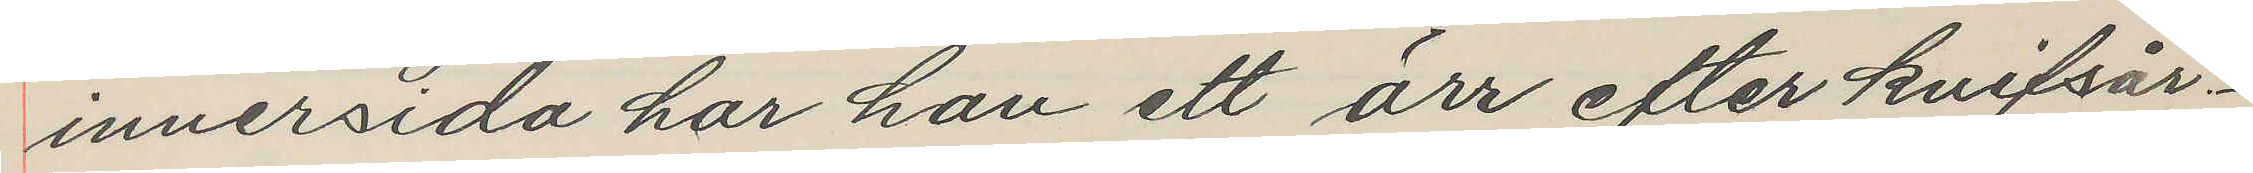innersida har han ett ärr efter knifsår.
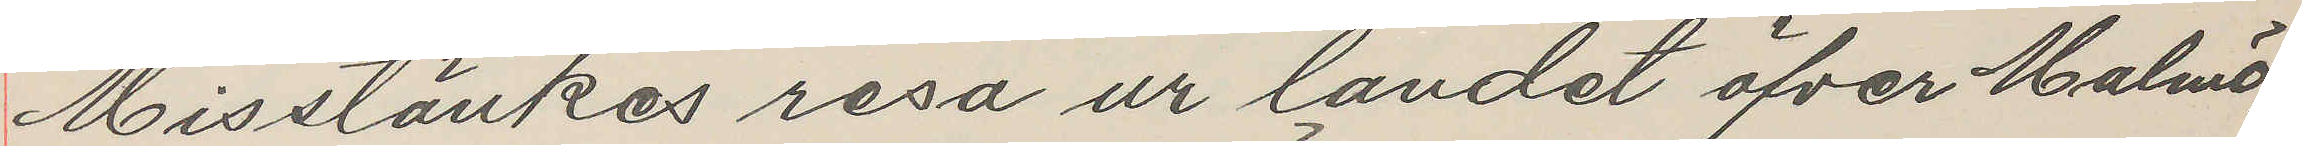Misstänkes resa ur landet öfver Malmö,
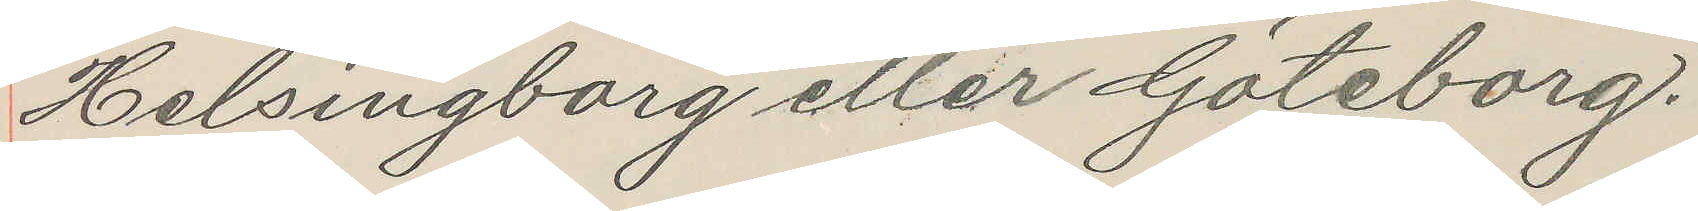Helsingborg eller Göteborg.
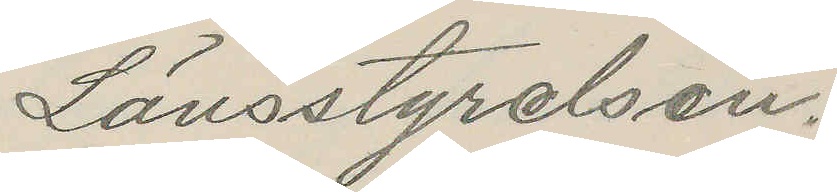Länsstyrelsen.
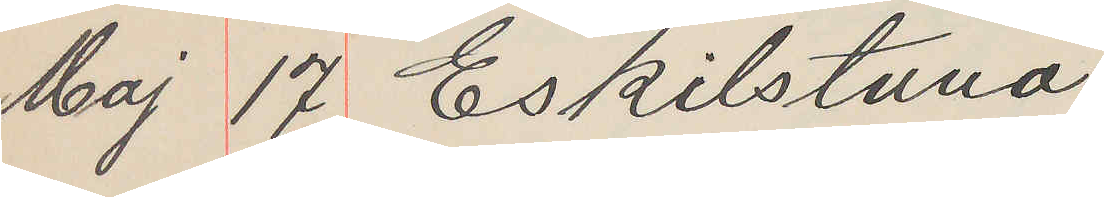Maj 17 Eskilstuna
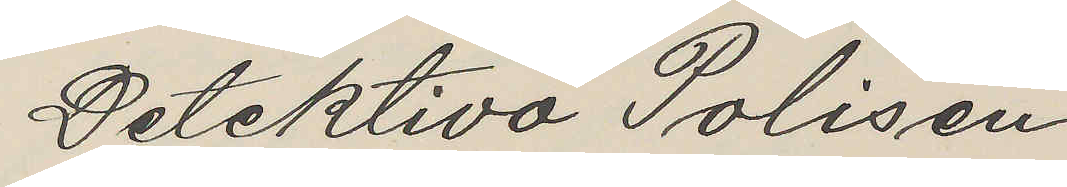Detektiva Polisen
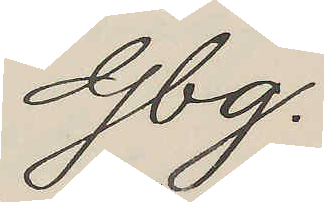Gbg.
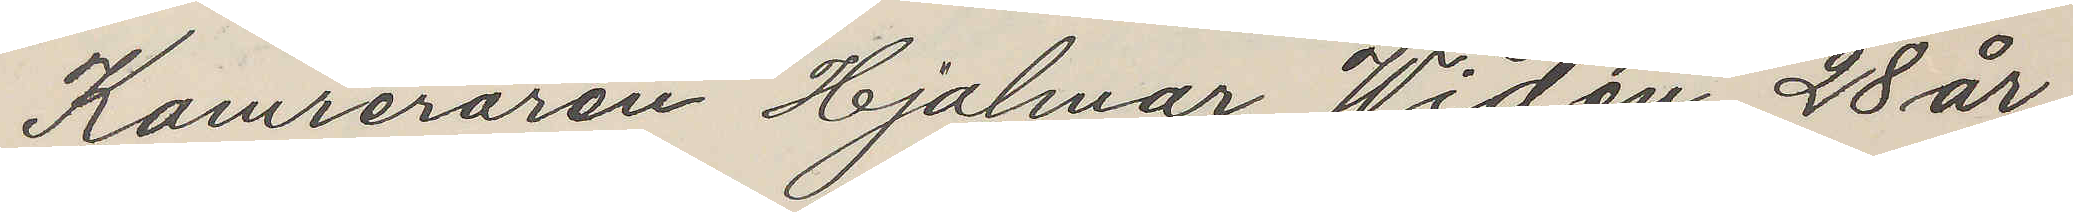Kamreraren Hjalmar Widén, 28 år,
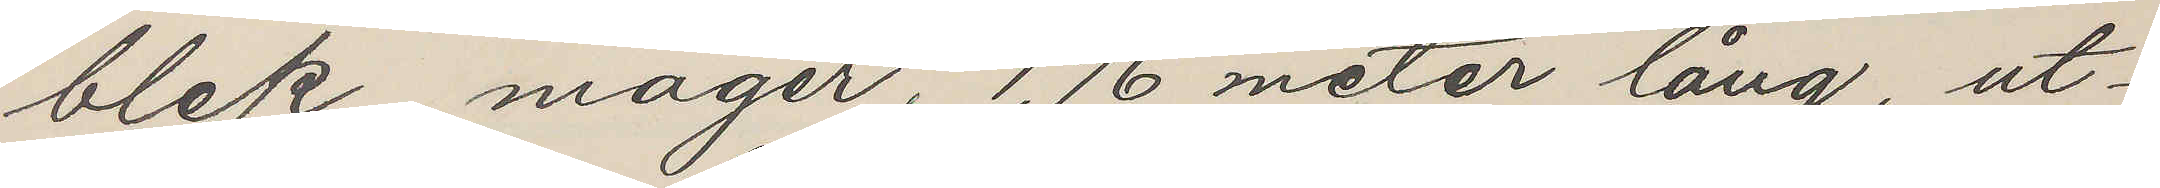blek, mager, 1,76 meter lång, ut¬
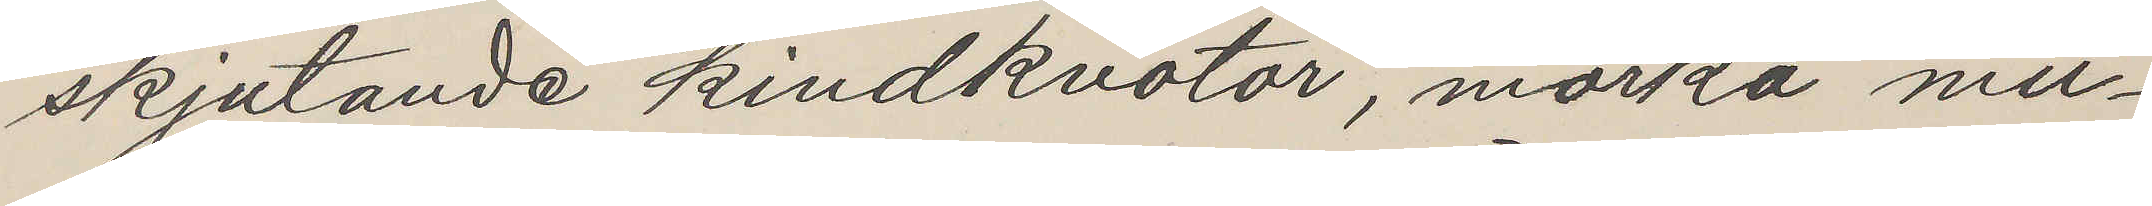skjutande kindknotor, mörka mu¬
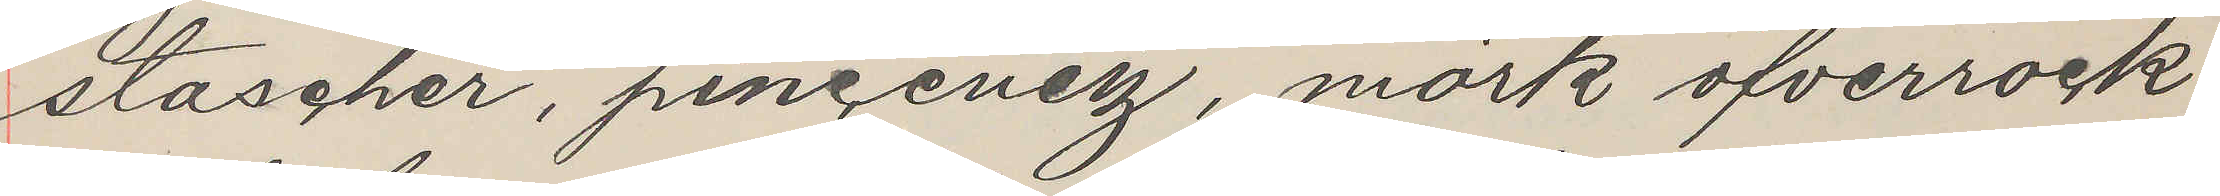stascher, pincenez, mörk öfverrock
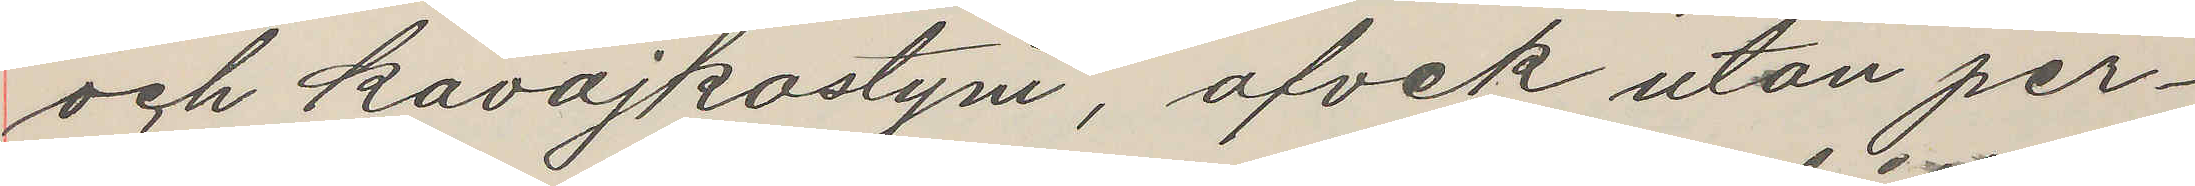och kavajkostym, afvik utan per¬
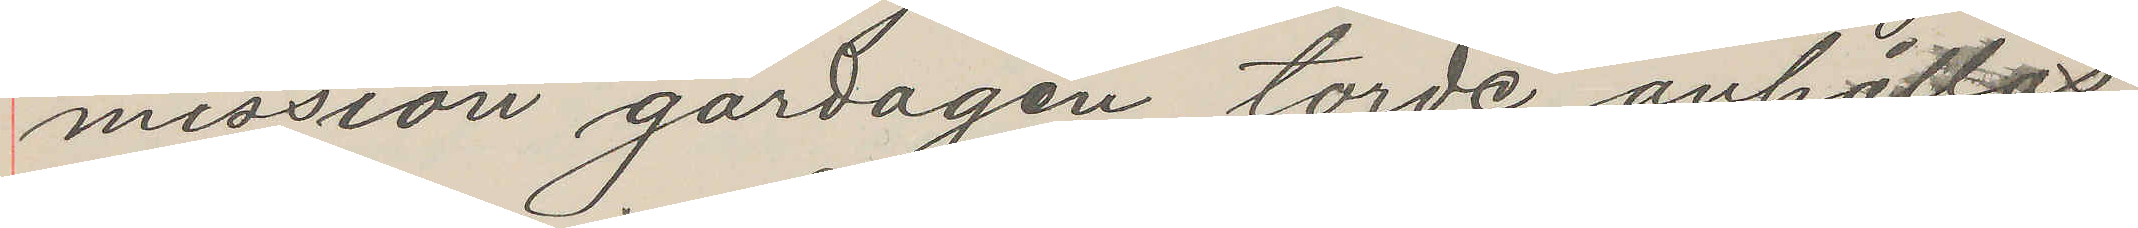missson gårdagen, torde anhållas
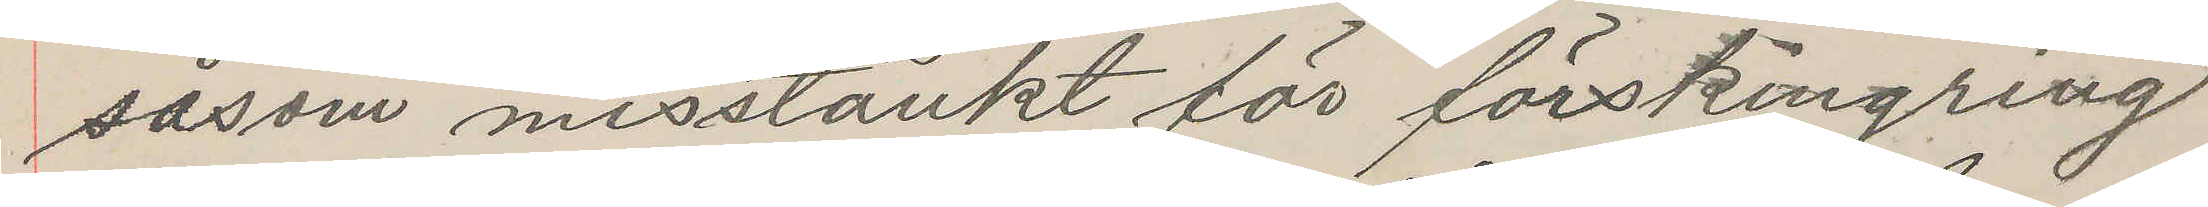såsom misstänkt för förskingring
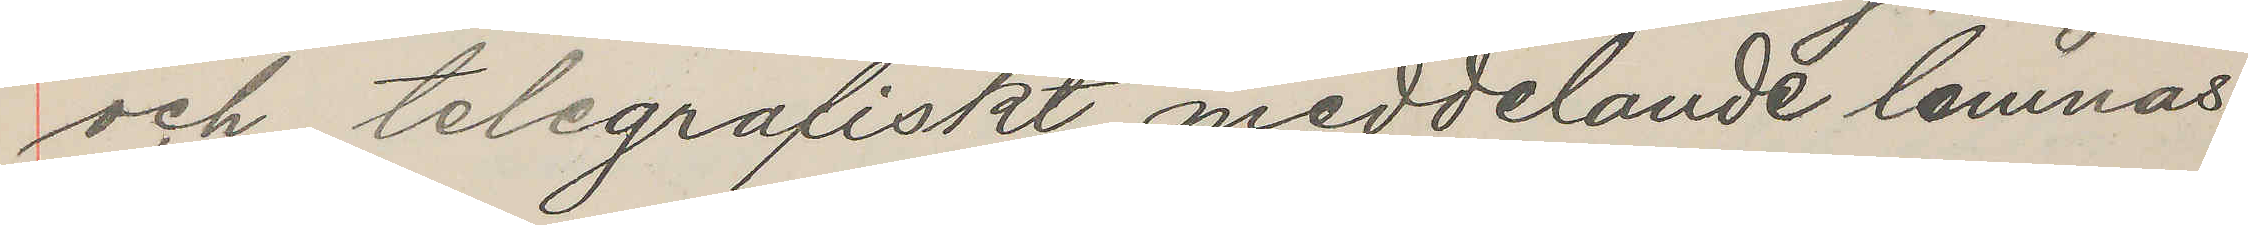och telegrafiskt meddelande lemnas.
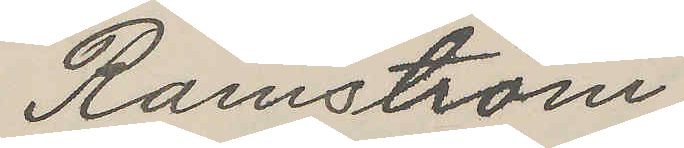Ramström
